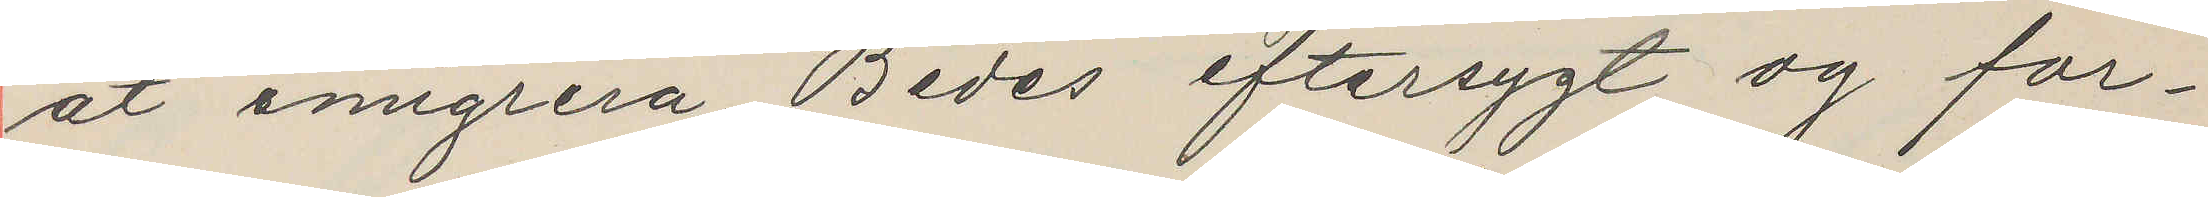at emigrera. Bedes eftersygt og for¬
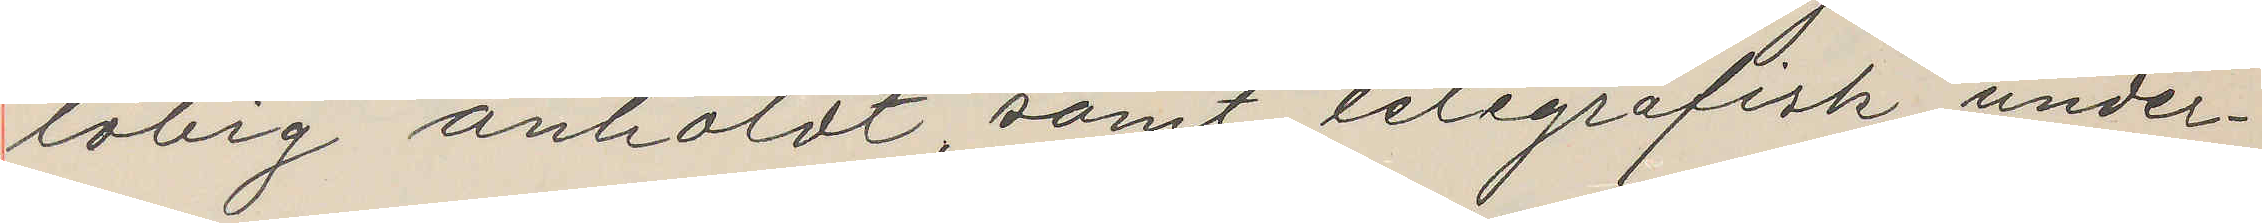löbig anholdt, samt telegrafisk under¬
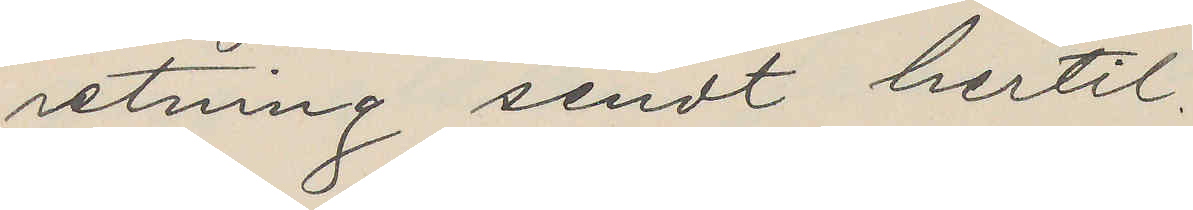retning sendt hertil.
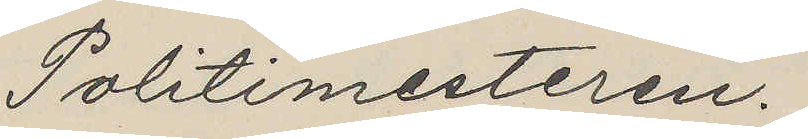Politimesteren.
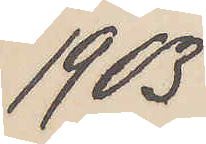1903
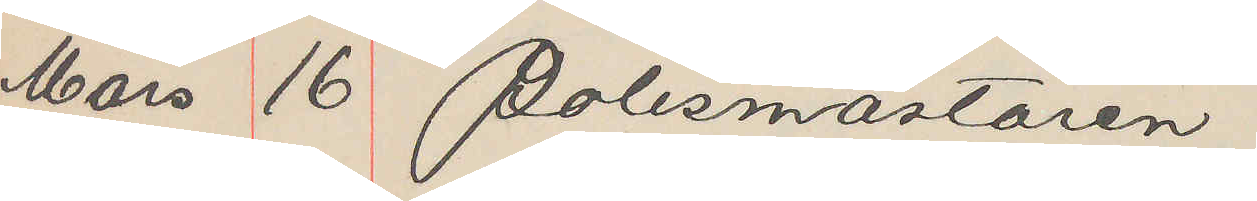Mars 16 Polismästaren
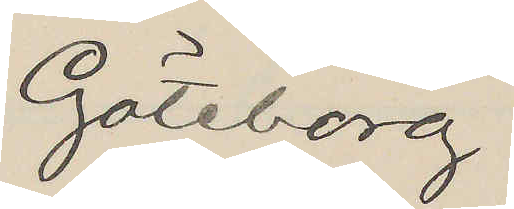Göteborg
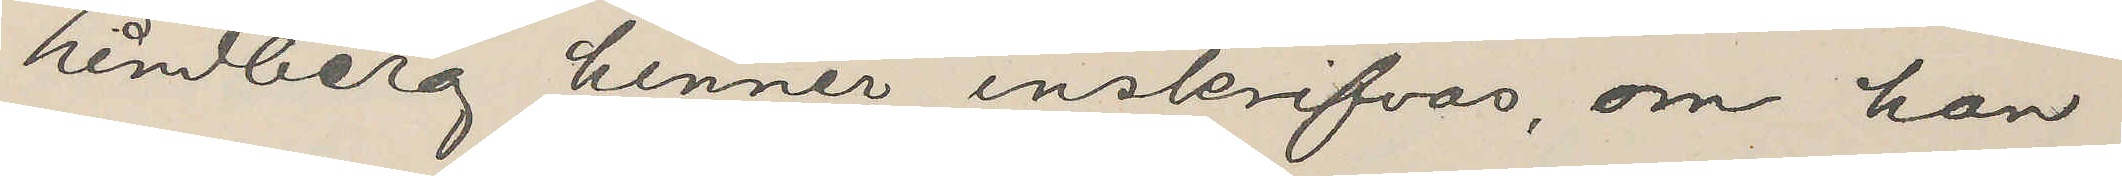Lindberg hinner inskrifvas, om han
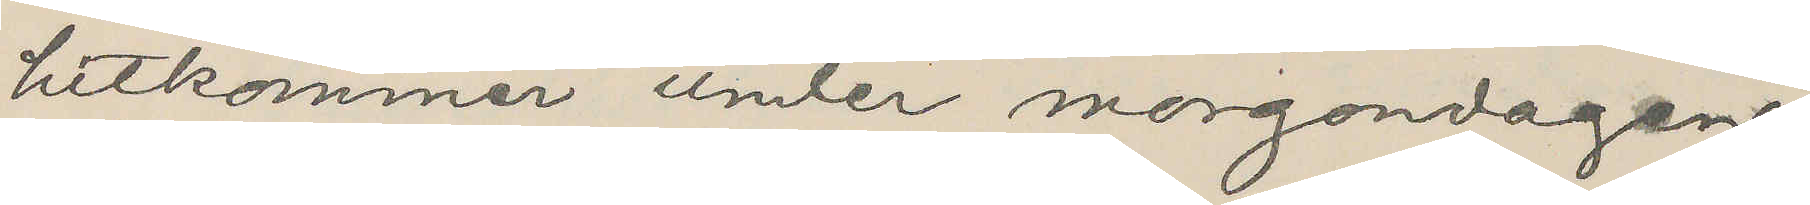hitkommer emter morgondagen.
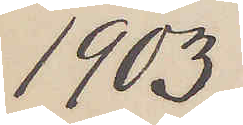1903
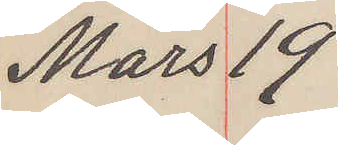Mars 19
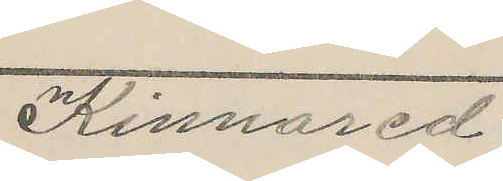Kinnared
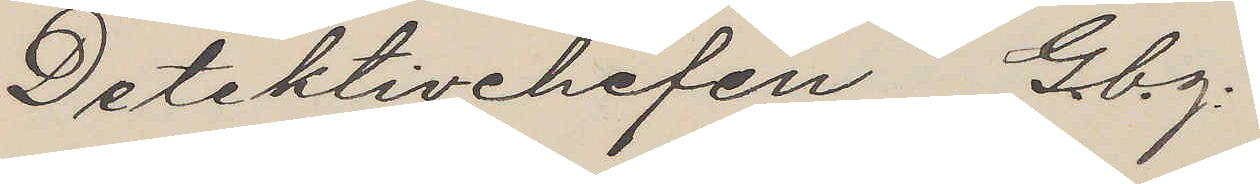Detektivchefen Gbg.
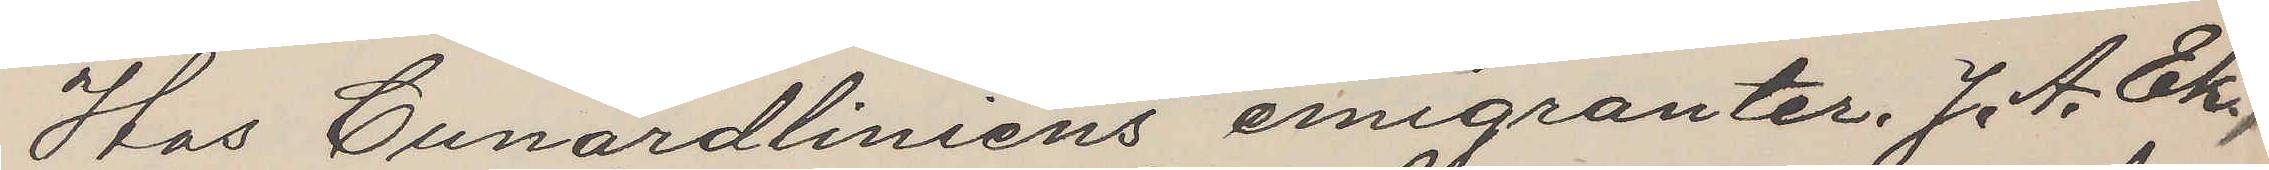Hos Cunardliniens emigranter. J. A. Ek,
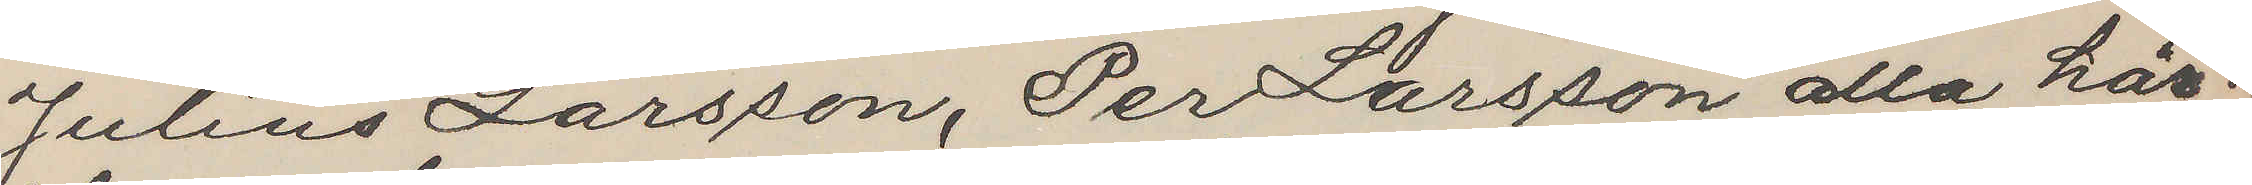Julius Larsson, Per Larsson alla här¬
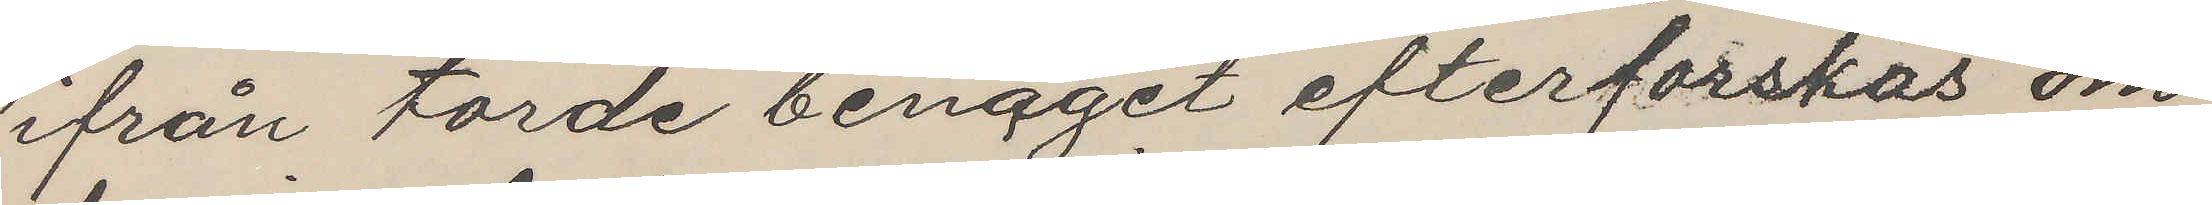ifrån torde benäget efterforskas om
